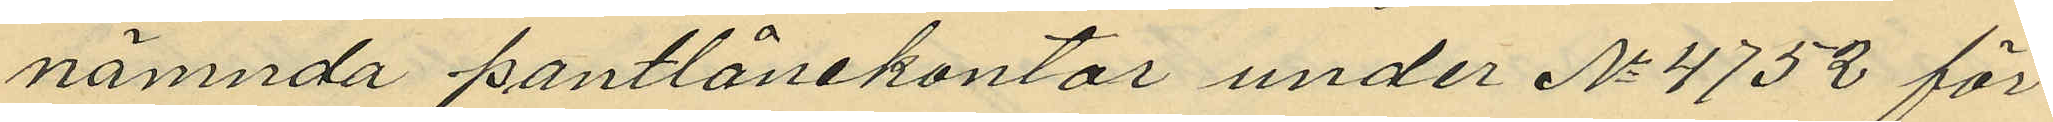nämnda pantlånekontor under No 4752 för
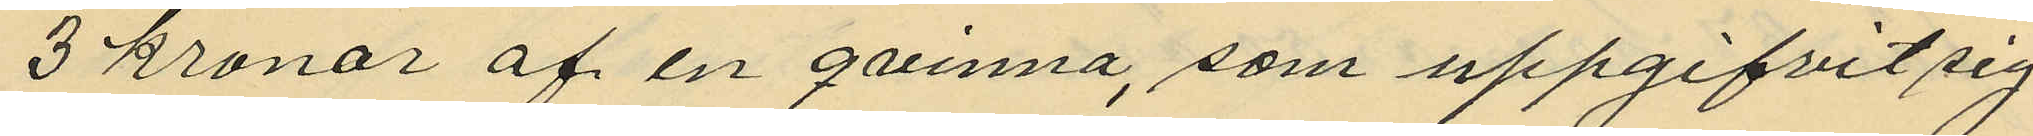3 kronor af en qvinna, som uppgifvit sig
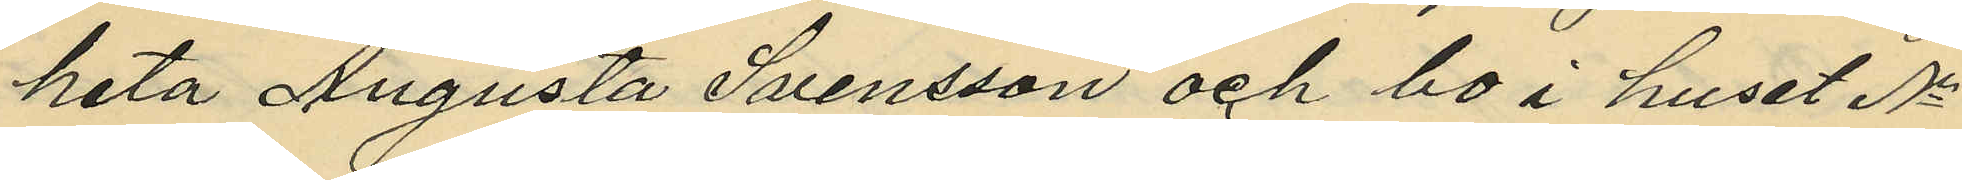heta Augusta Svensson och bo i huset No
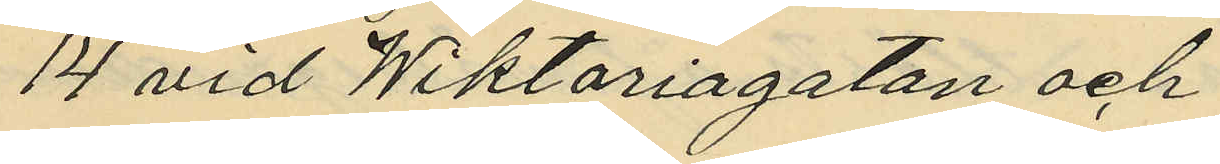14 vid Wiktoriagatan och
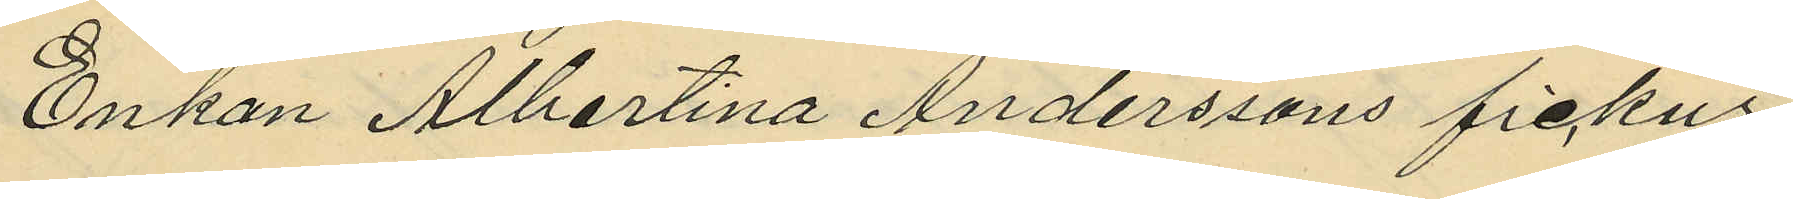Enkan Albertina Anderssons fickur
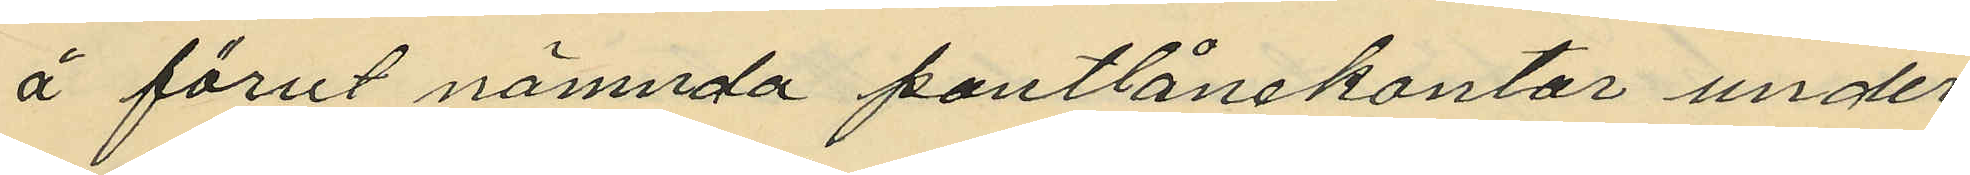å förut nämnda pantlånekontor under
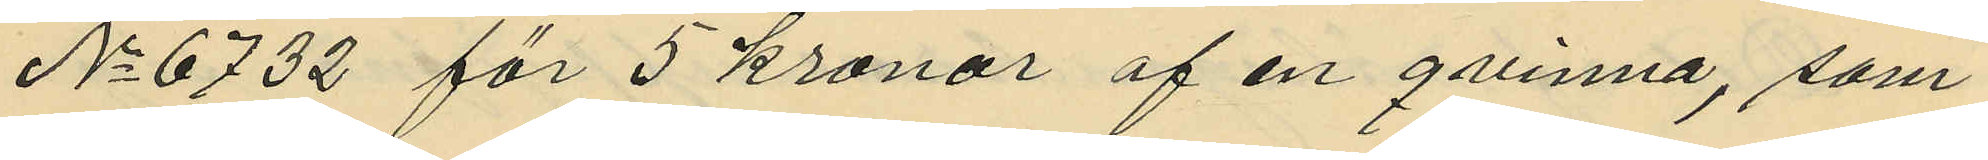No 6732 för 5 kronor af en qvinna, som
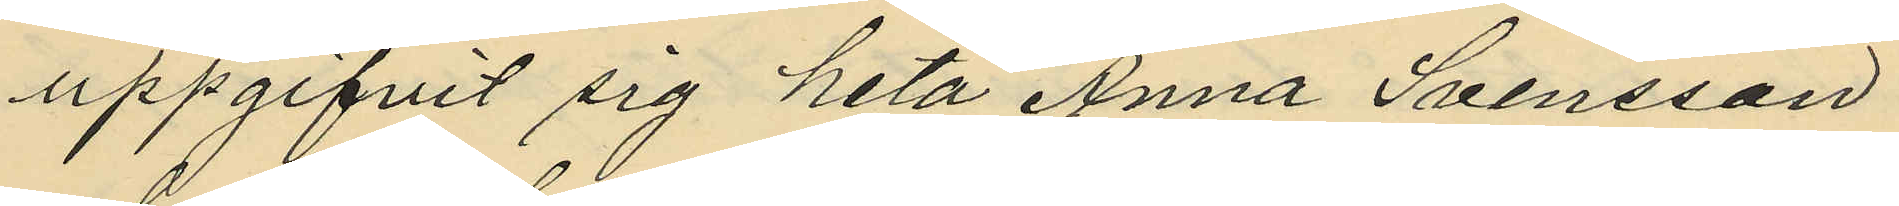uppgifvit sig heta Anna Svensson
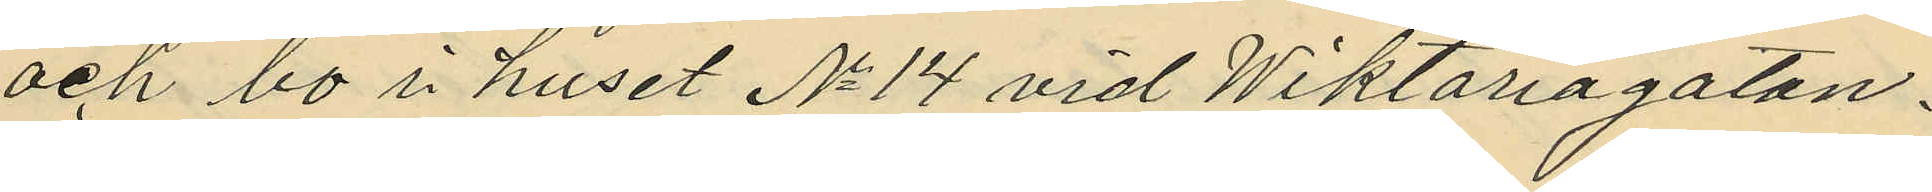och bo i huset No 14 vid Wiktoriagatan.
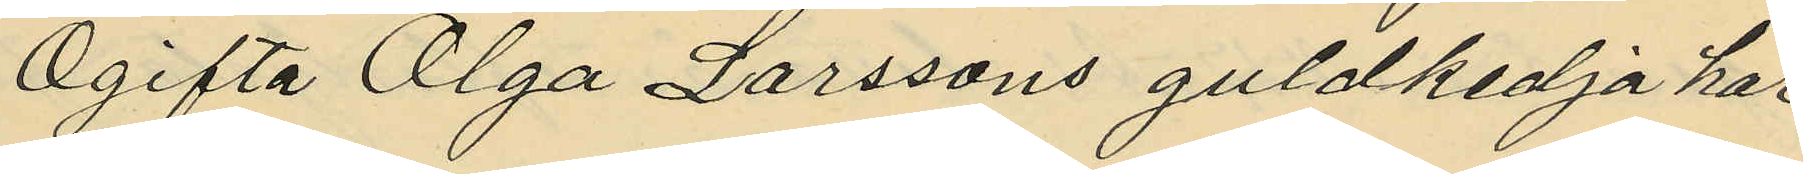Ogifta Olga Larssons guldkedja har
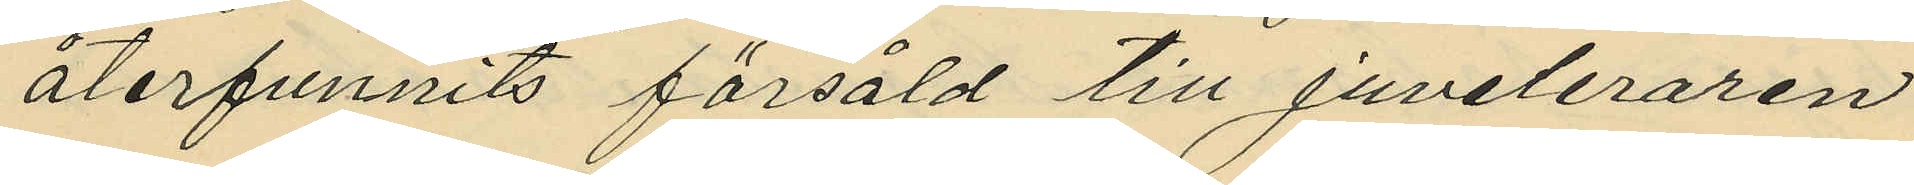återfunnits försåld till juveleraren
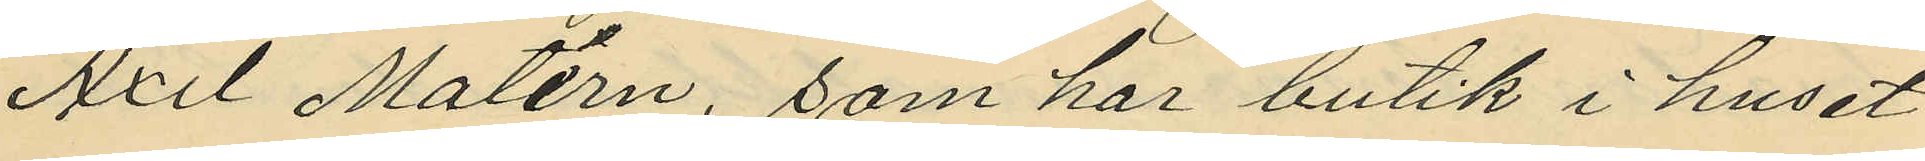Axel Matérn, som har butik i huset
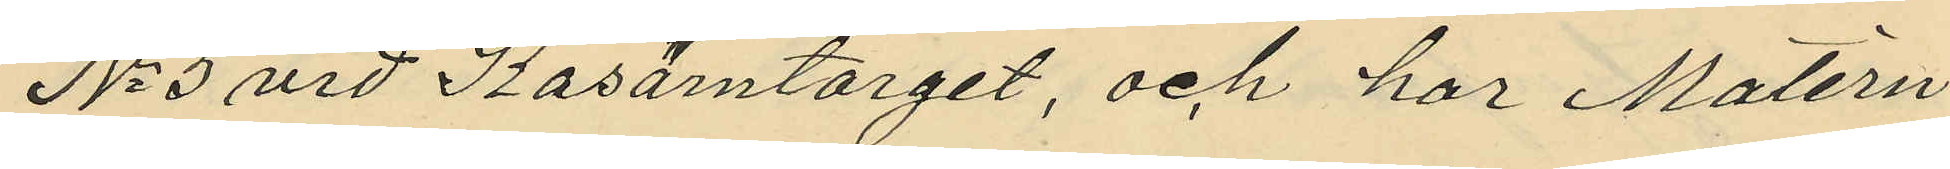No 5 vid Kaserntorget, och har Matérn
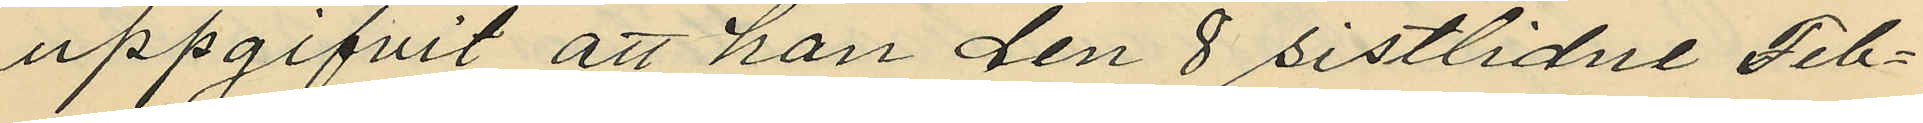uppgifvit att han den 8 sistlidne Feb¬
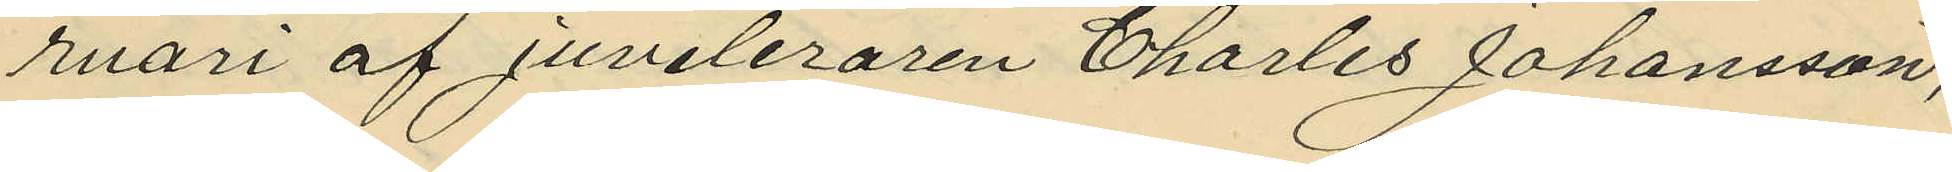ruari af Juveleraren Charles Johansson,
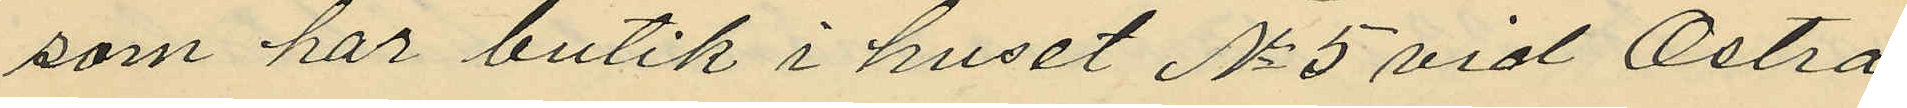som har butik i huset No 5 vid Östra
